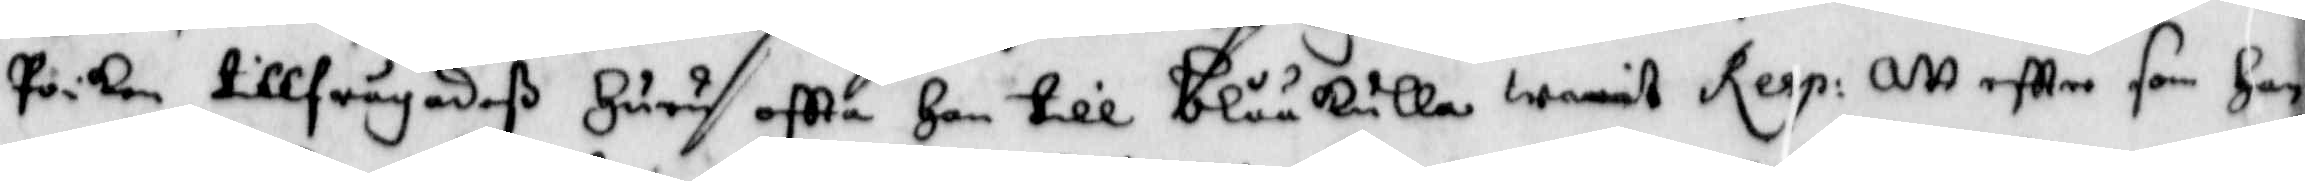poiken tillfrågadeß Huru oftta Han till blåkulla warit Resp: att eftter som Han
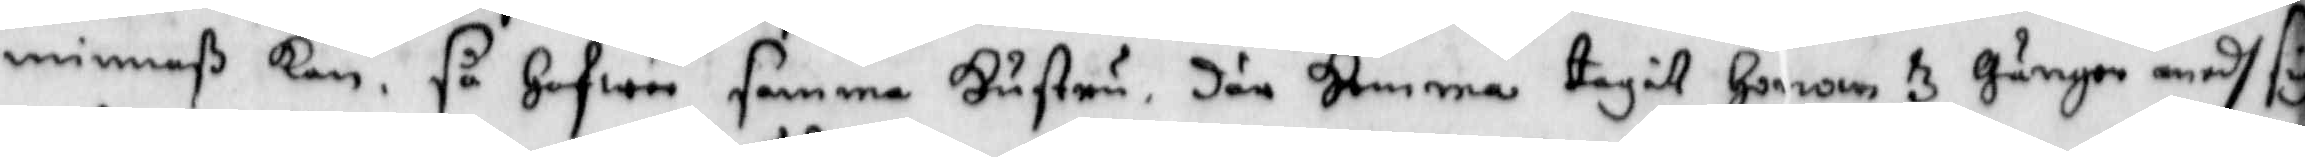minnaß kan så Hafwer samma Hustru där Hemma tagit Honom 3 gånger medh sigh
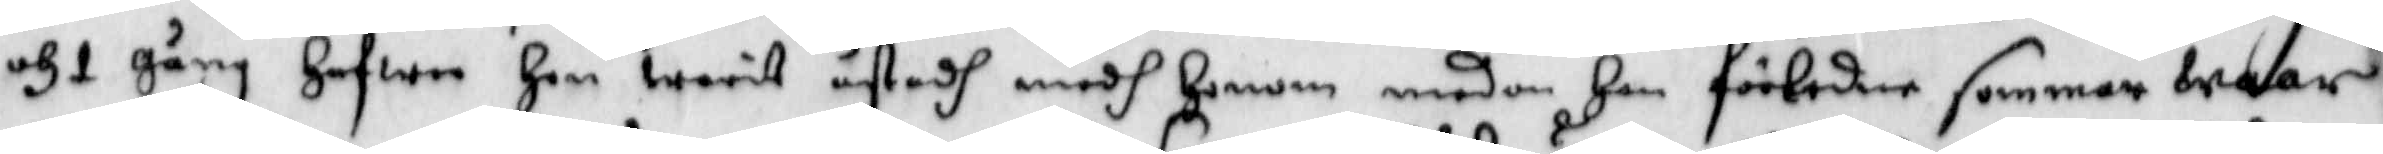och 1 gång Hafwer Hon warit åstadh medh Honom medan Han förledne sommar waar
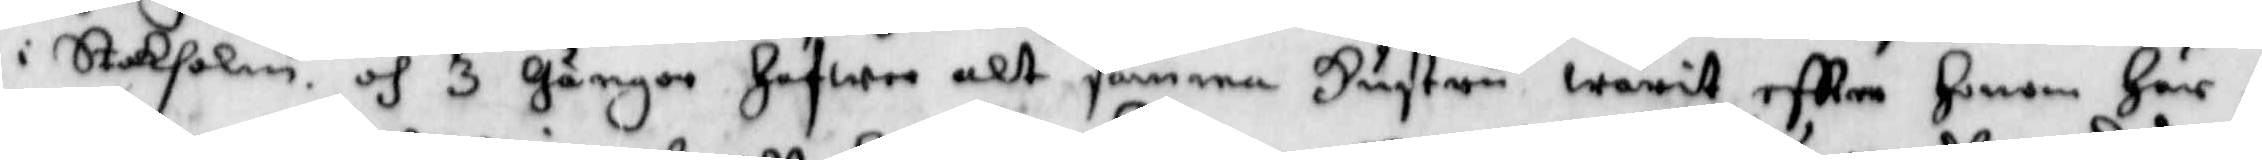i Stokholm och 3 gånger Hafwer alt samma Hustru warit eftter Honom Här i
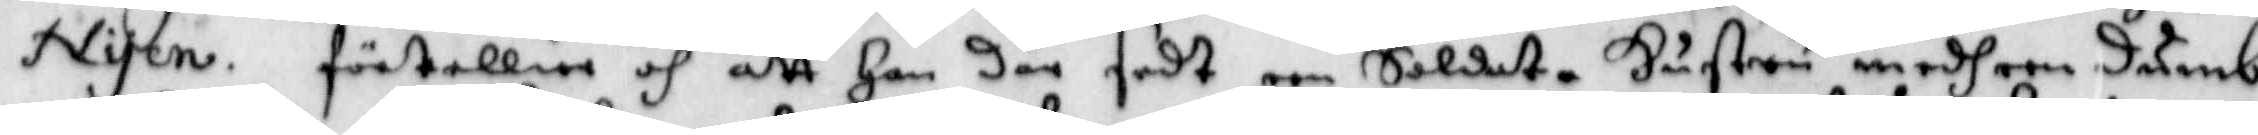Nyen. förtellier och att Han där sedt een Soldate Hustru medh een dumb
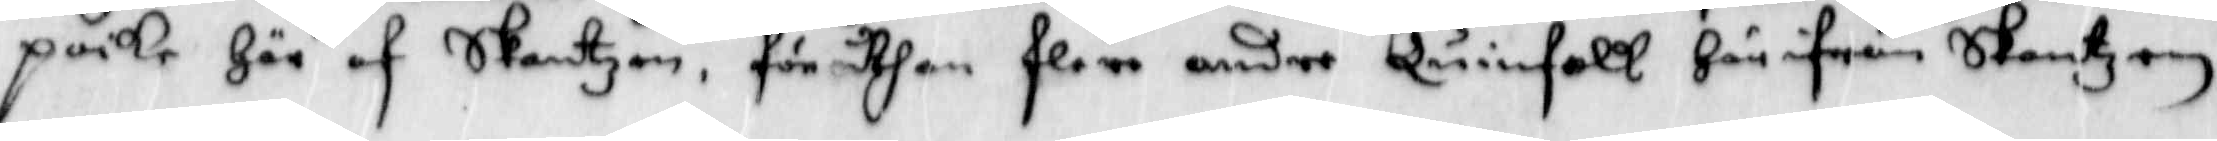poike Här af Skantzen, frö uthan flere andre Quinfolk Här ifrån Skantzen
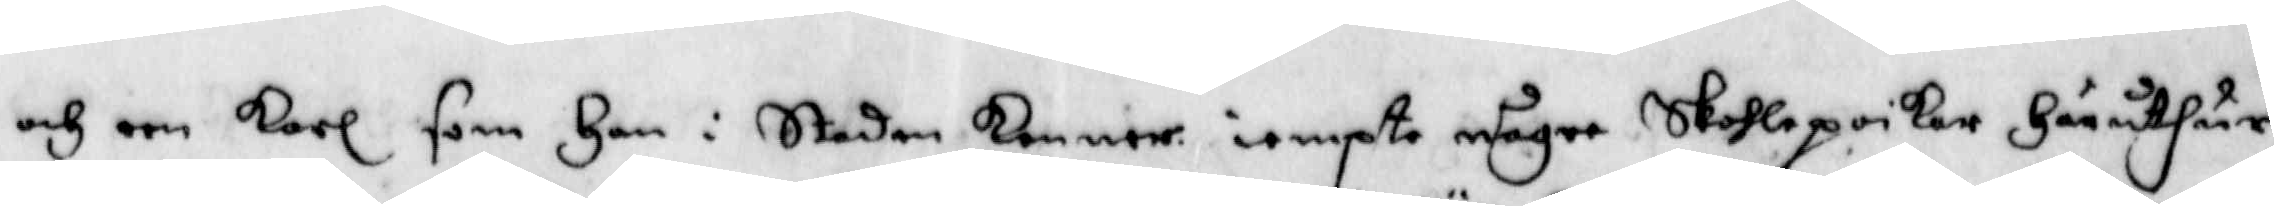och een karl som Han i Staden kommer iempte någre Skohlepoikar Här uthur
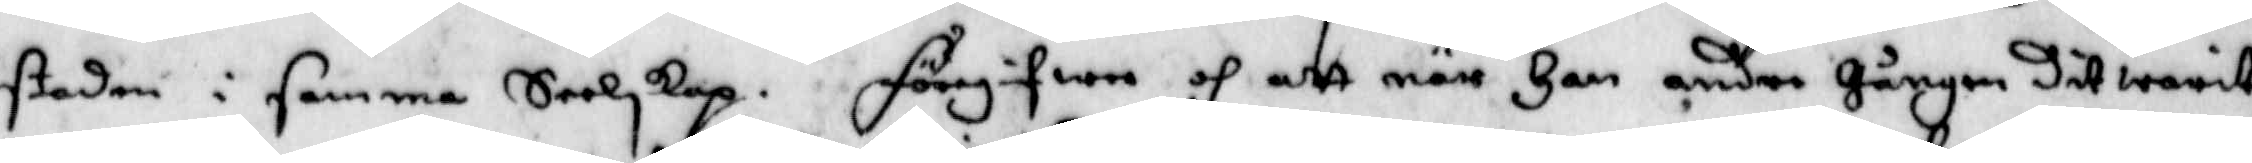staden i samm Seelskap. Föregifwe och att när Han andra Gången dir warit
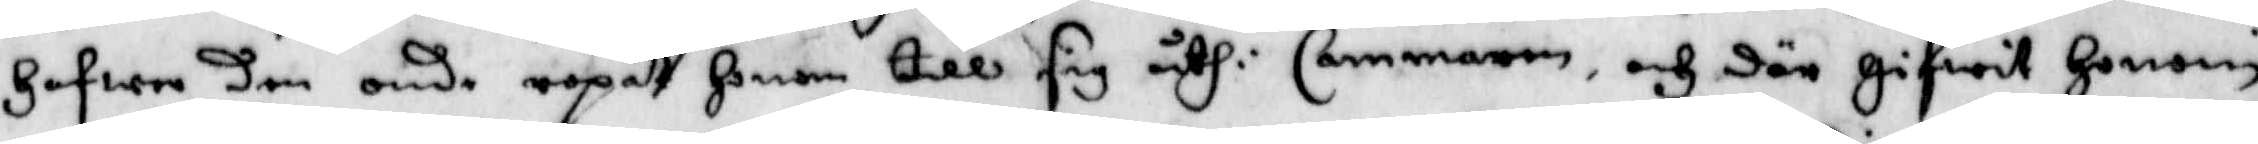Hafwer den onde ropat Honom till sig uthi Cammaren och där gifwit Honom
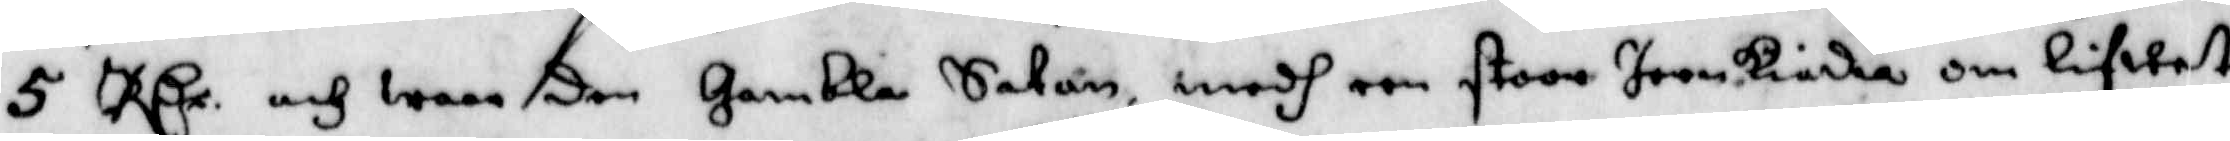5 R Cr och waar den Gamble Satan, medh een stoor Jernkiedia om Lifwet
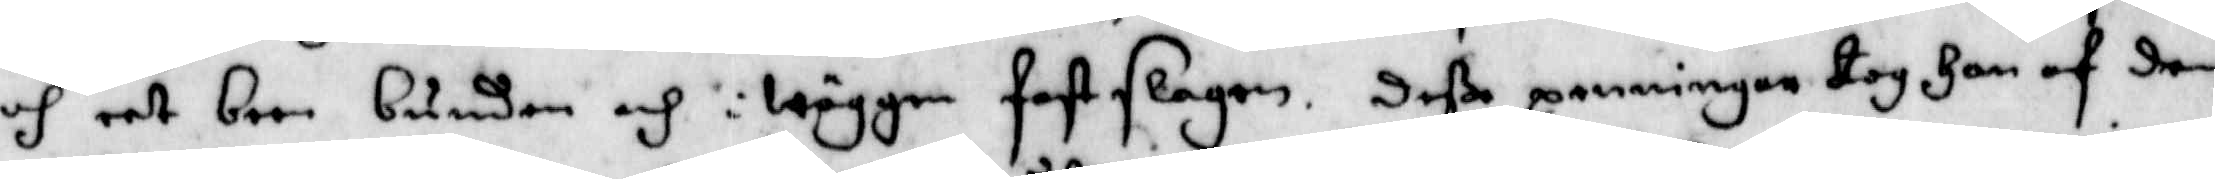och eet been bunden och i wäggen fastslagen. Deße penningar tog Han af den
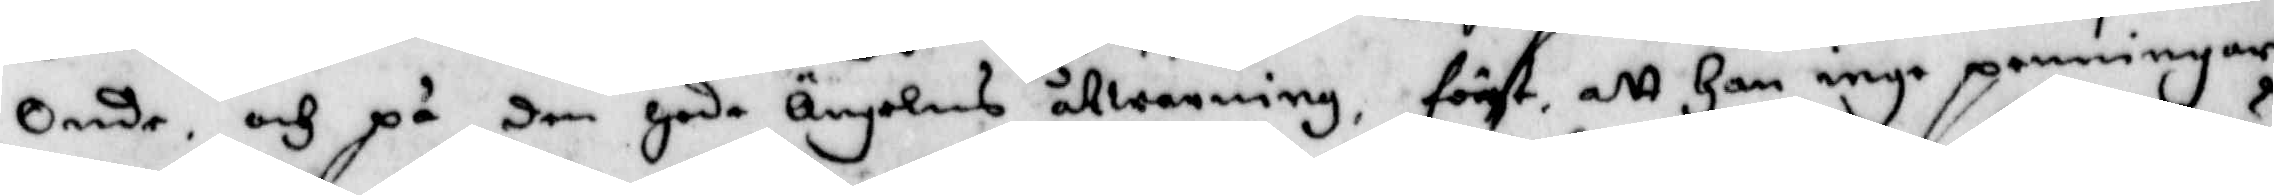Onde, och på den gode Ängelens åtwarning, först att Han inge penningar
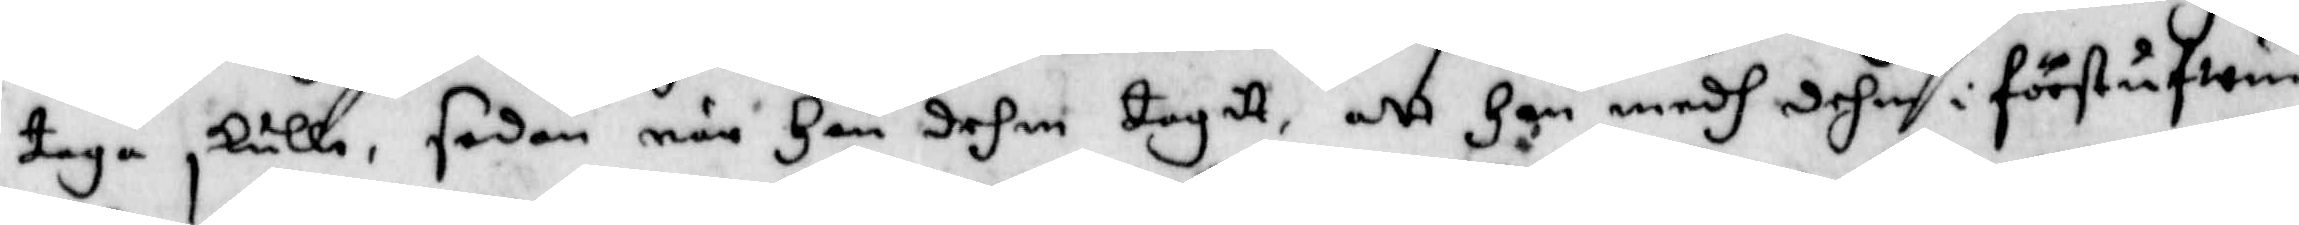taga skulle, sedan när han dehm tagitt, att Han medh dehm i förstufwun
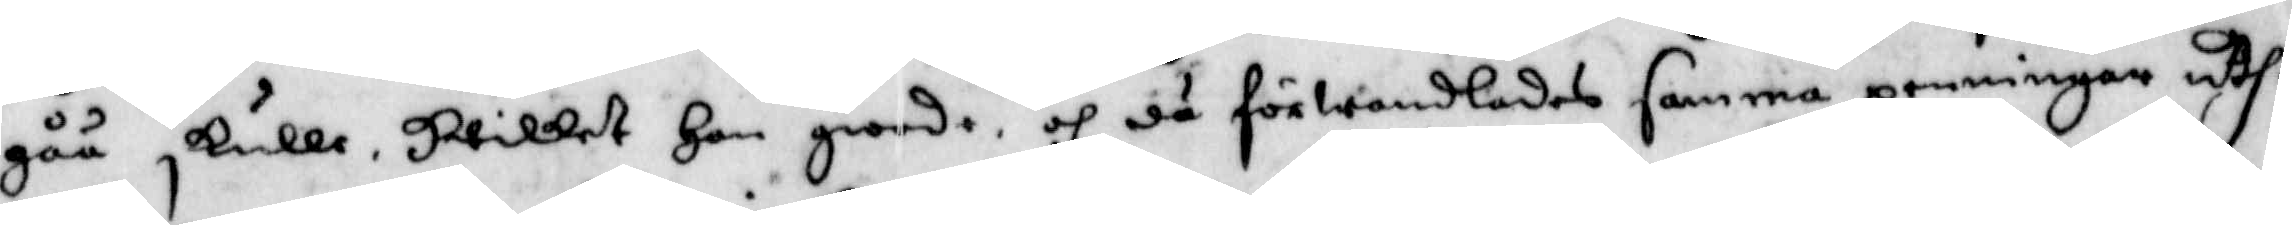gåå skulle, Hwilket Han giorde och då förwandlades samma penningar uthi
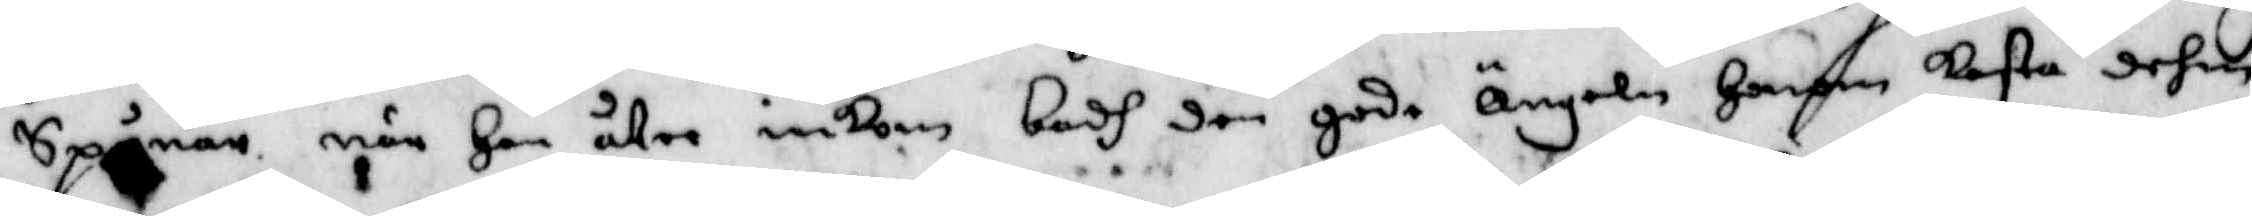Spånar när Han åter inkom badh den gode Ängeln Honom kasta dehm
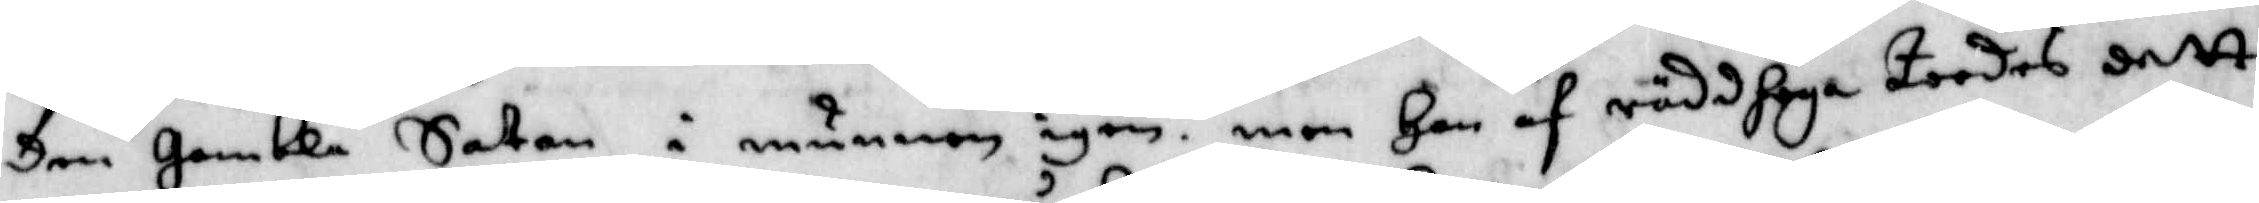den Gamble Satan i munnen igen men Han af räddhoga toodes dett
